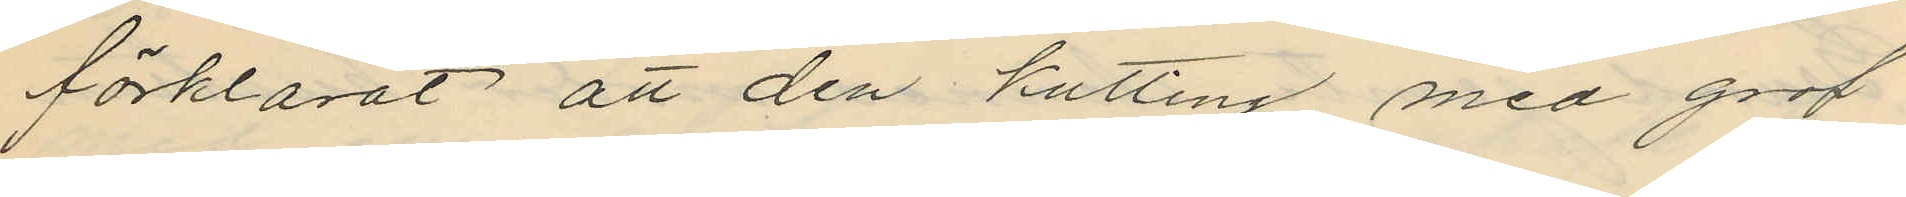förklarat att den kutting med grof
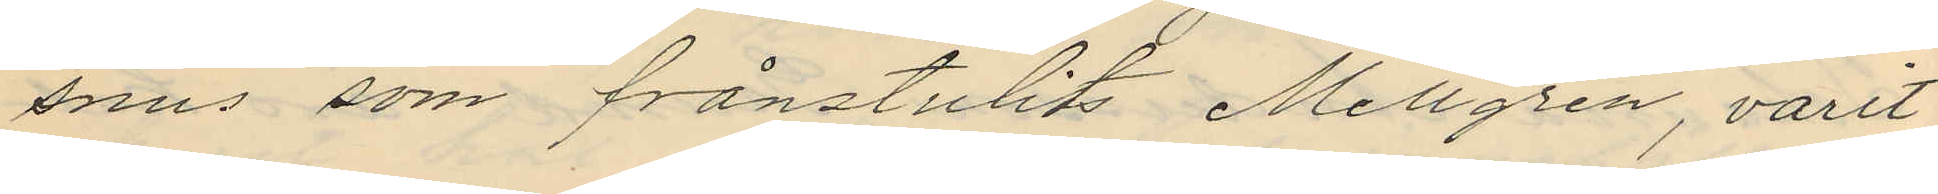snus som frånstulit Mellgren, varit
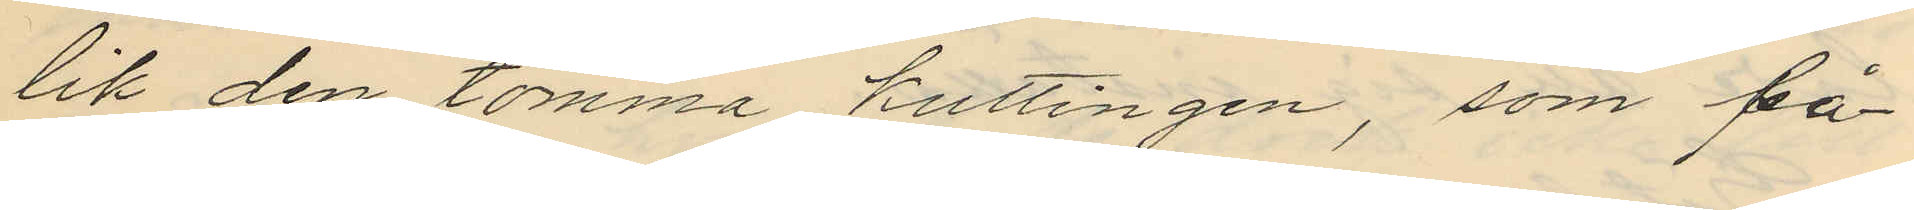lik den tomma kuttingen, som på¬
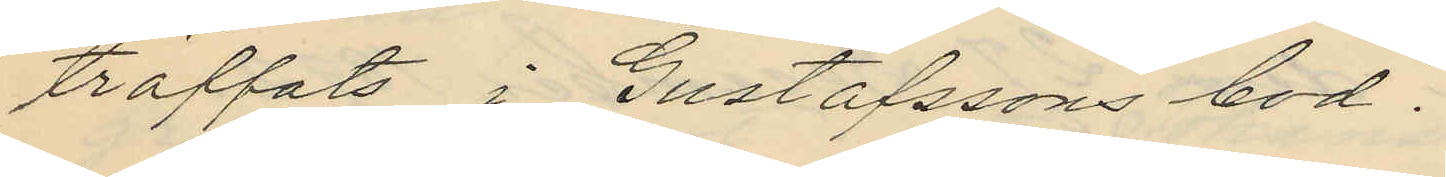träffats i Gustafssons bod.
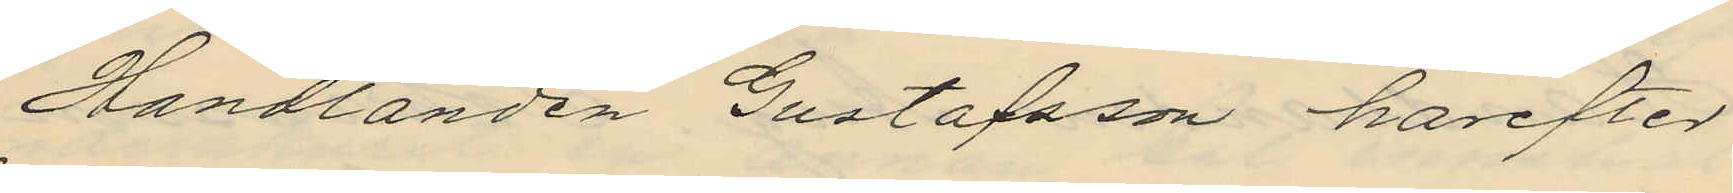Handlanden Gustafsson härefter
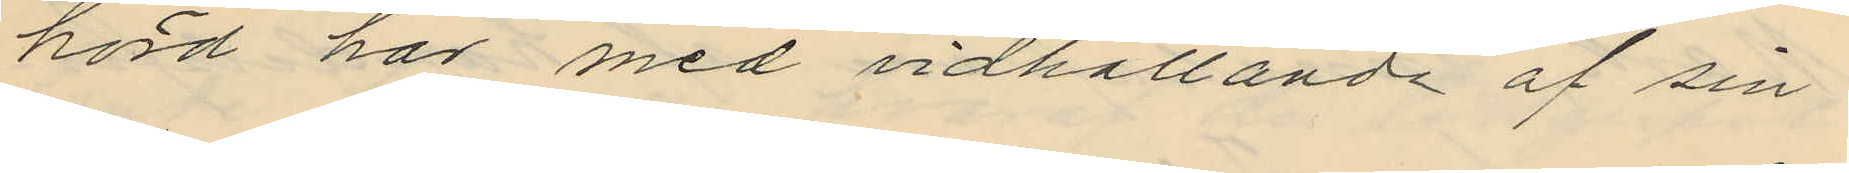hörd har med vidhållande af sin
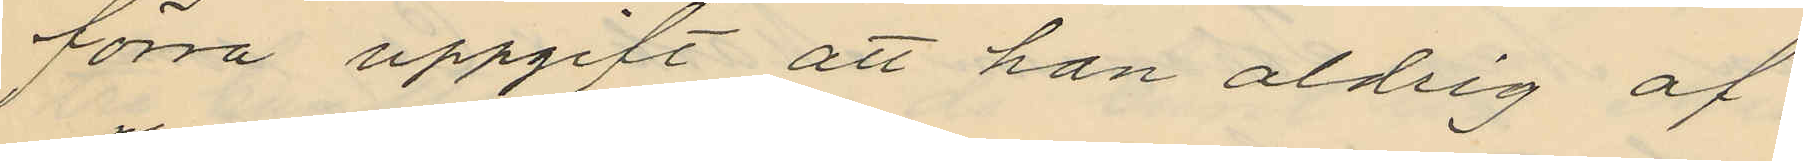förra uppgift att han aldrig af
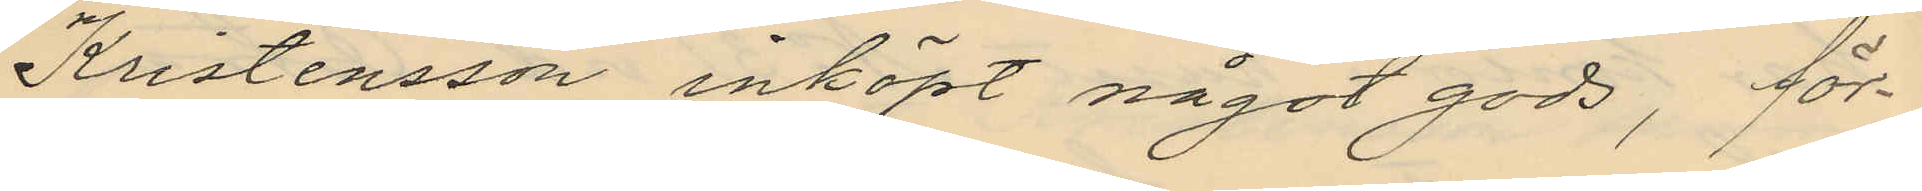Kristensson inköpt något gods, för¬
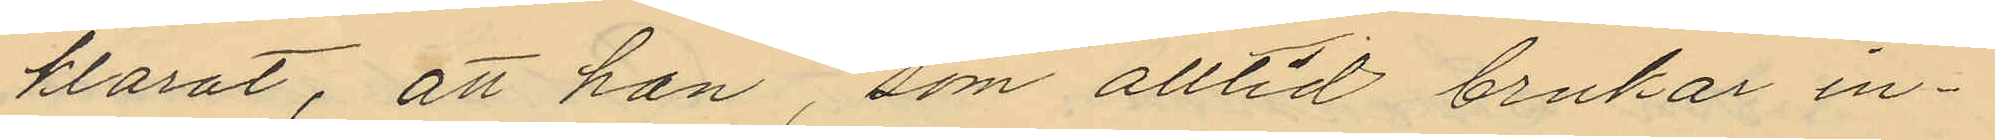klarat, att han, som alltid brukar in¬
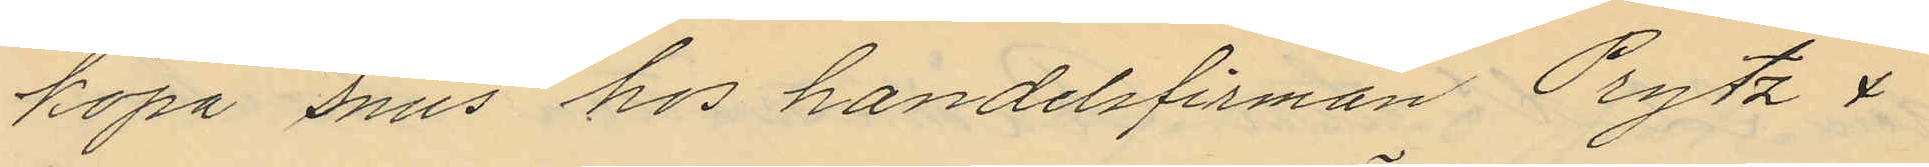köpa snus hos handelsfirman Prytz &
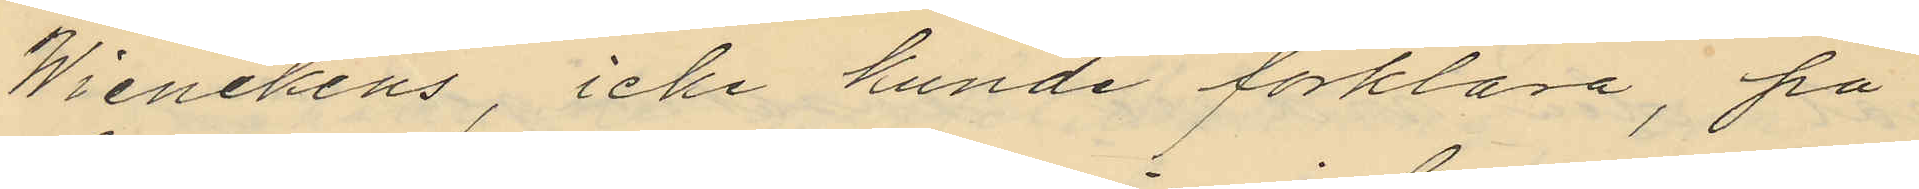Wienckens, icke kunde förklara, på
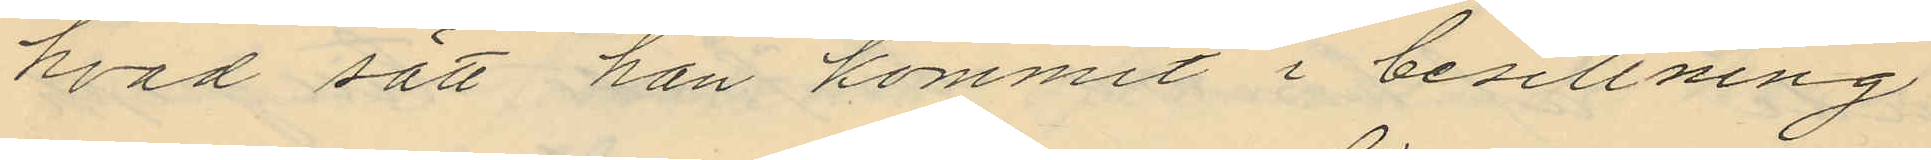hvad sätt han kommit i besittning
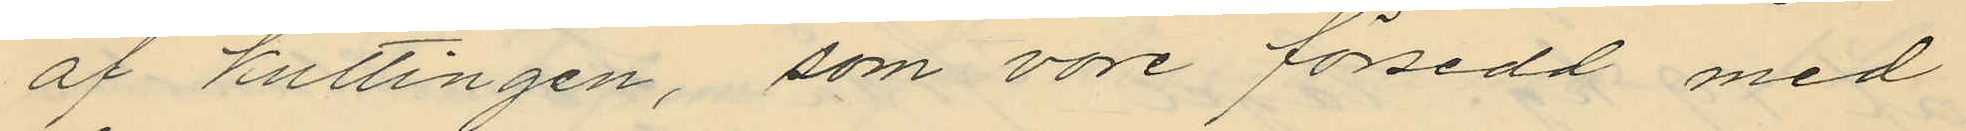af kuttingen, som vore försedd med
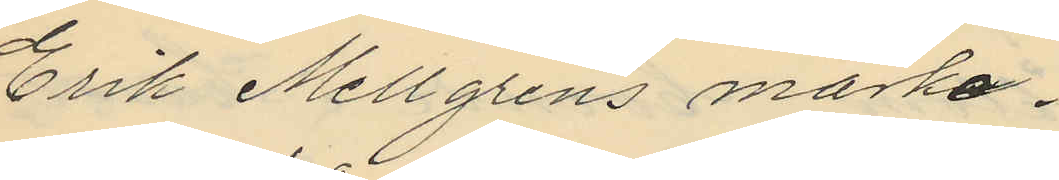Erik Mellgrens märke.
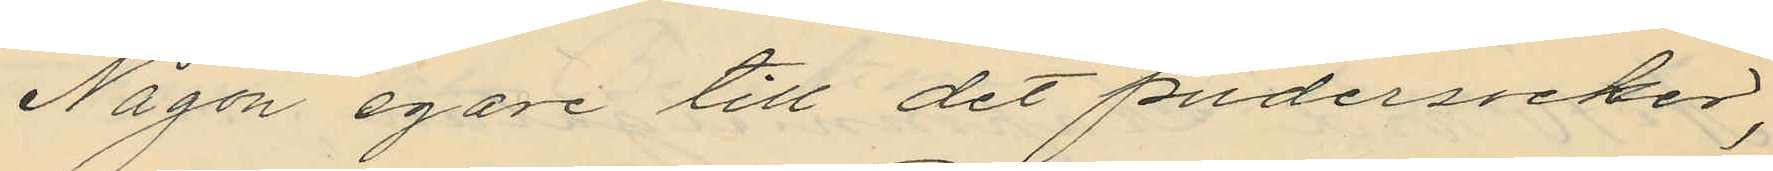Någon egare till det pudersocker,
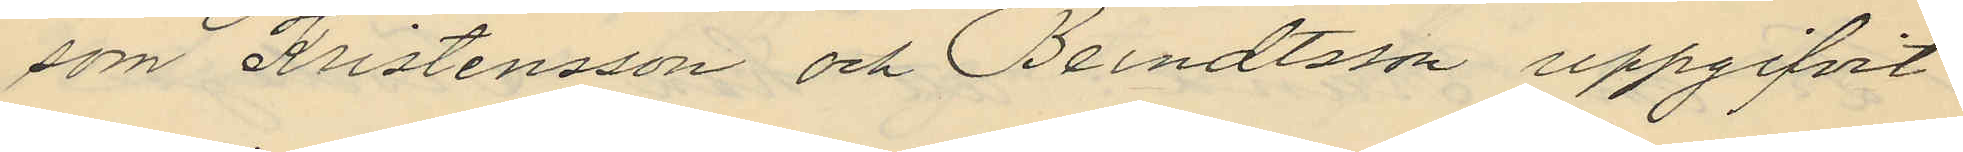som Kristensson och Bendtsson uppgifvit
